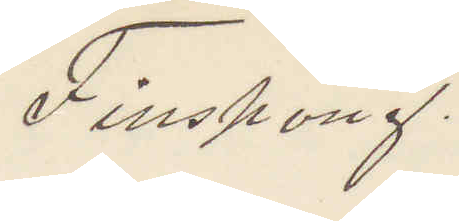Finspong.
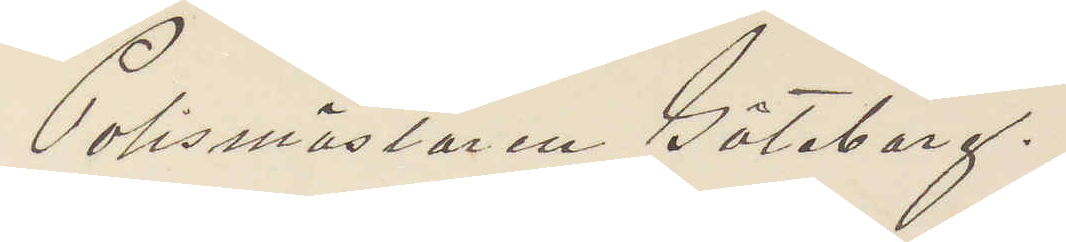Polismästaren Göteborg.
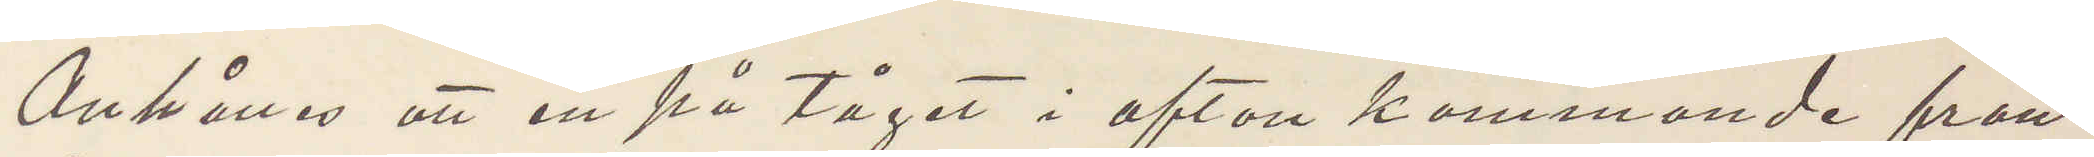Anhålles att en på tåget i afton kommande från
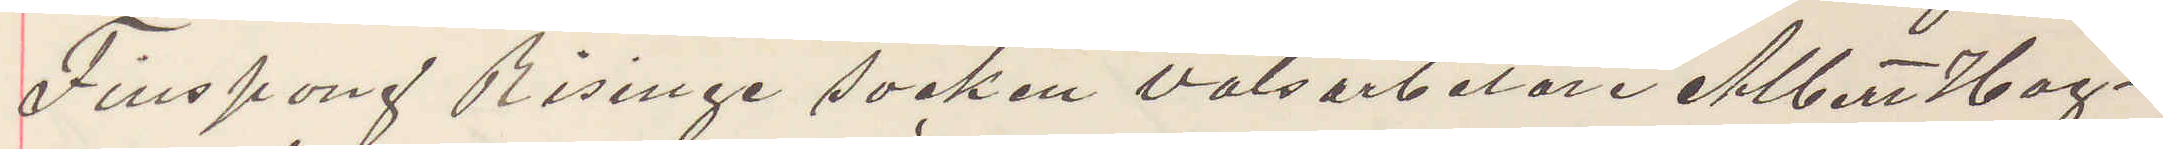Finspong Risinge socken valsarbetare Albert Hag¬
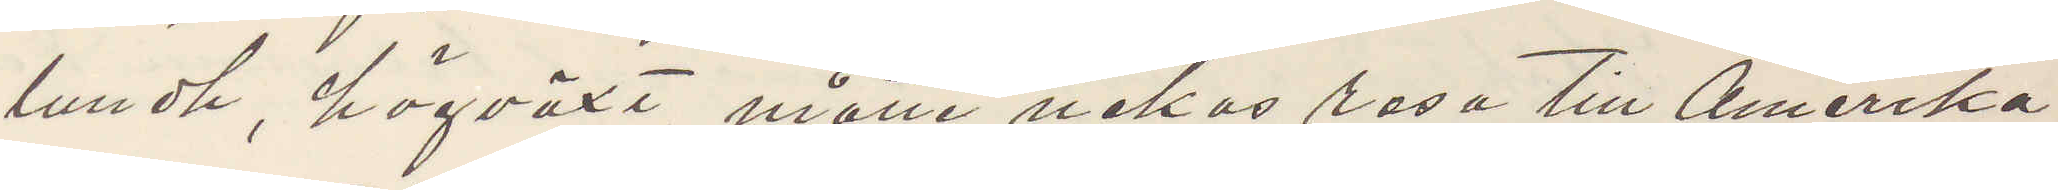lundt, högväxt, måtte nekas resa till Amerika
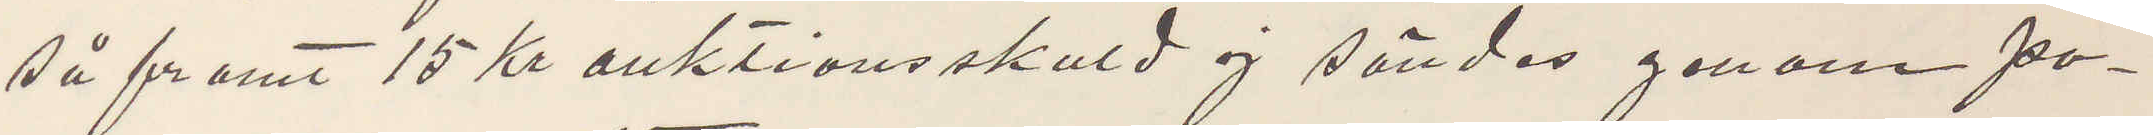så framt 15 Kr auktionsskuld ej sändes genom po¬
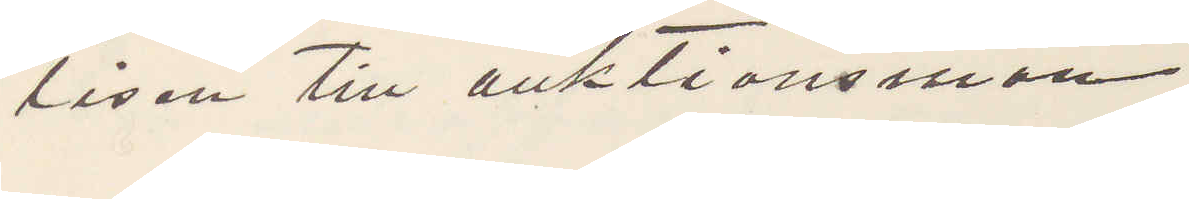lisen till auktionsman
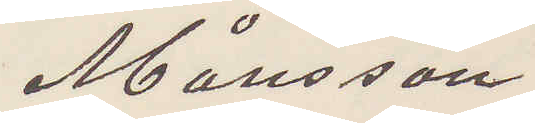Månsson
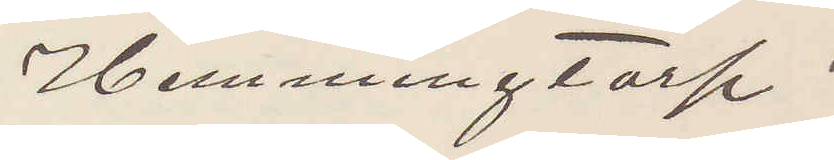Hemmingtorp.
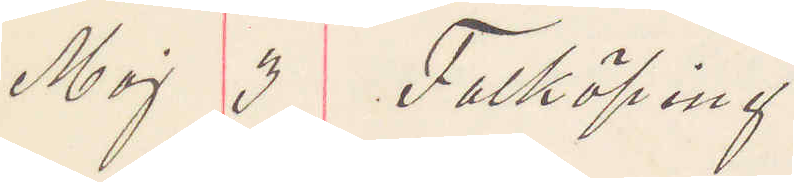Maj 3 Falköping
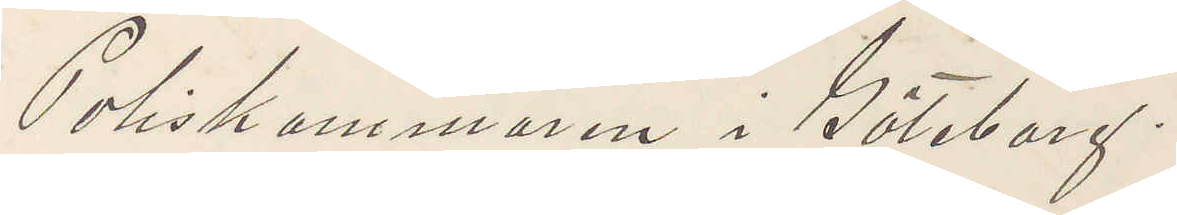Poliskammaren i Göteborg.
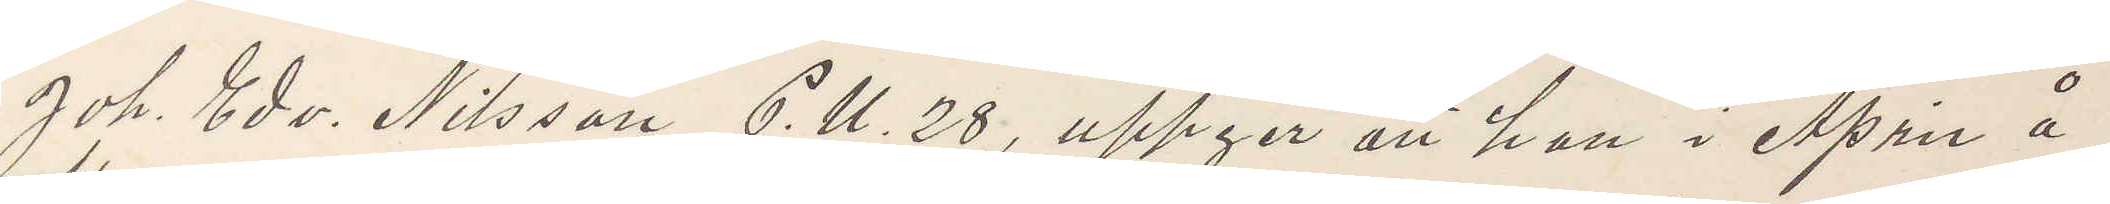Joh. Edv. Nilsson, P. U. 28, uppger att han i April å
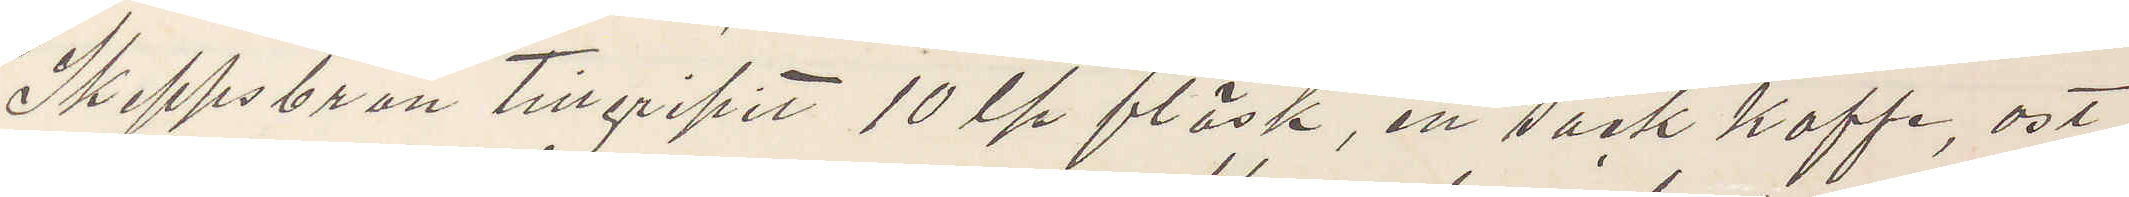Skeppsbron tillgripit 10 ℔ fläsk, en säck kaffe, ost
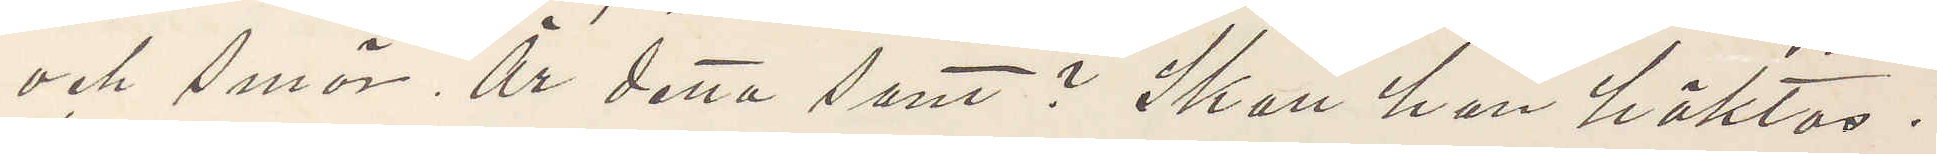och smör, Är detta sant? Skall han häktas.
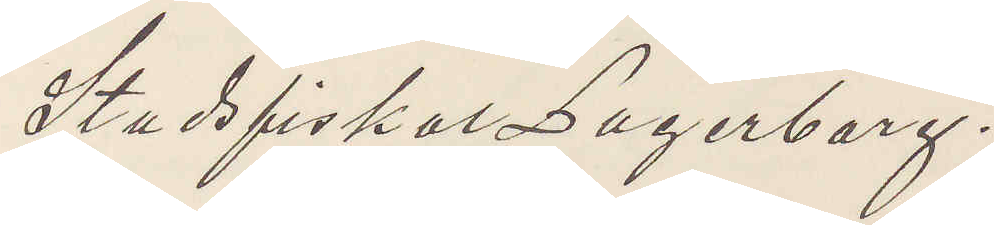Stadsfiskal Lagerborg.
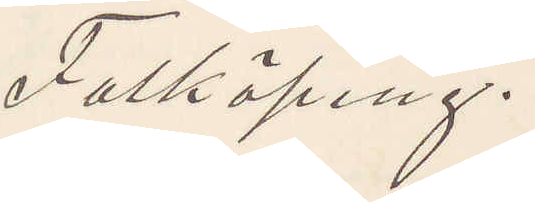Falköping.
